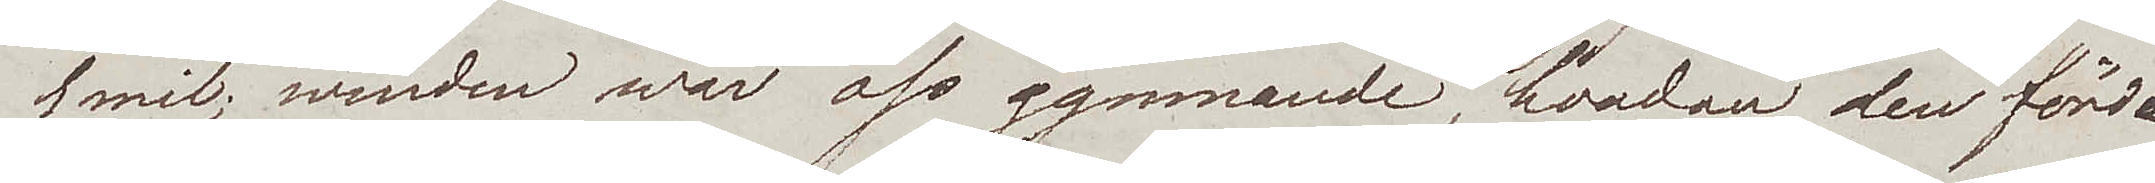1 mil; winden war oss gynnande, hvadan den förde
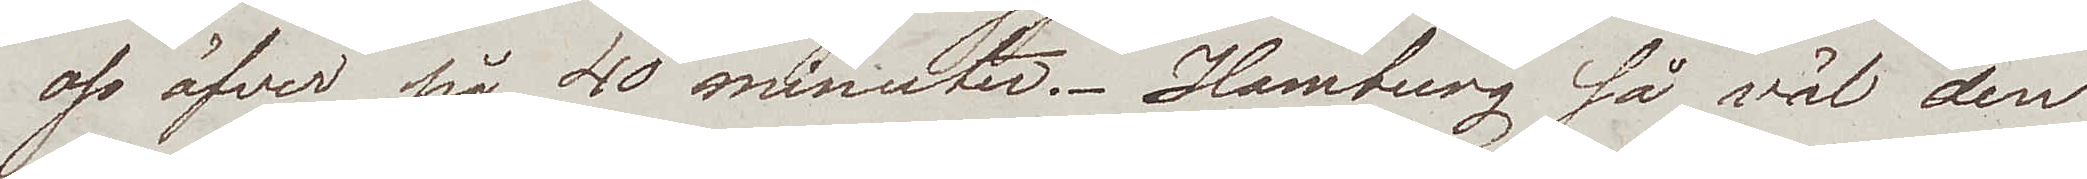oss öfver på 40 minuter. Hamburg så väl den
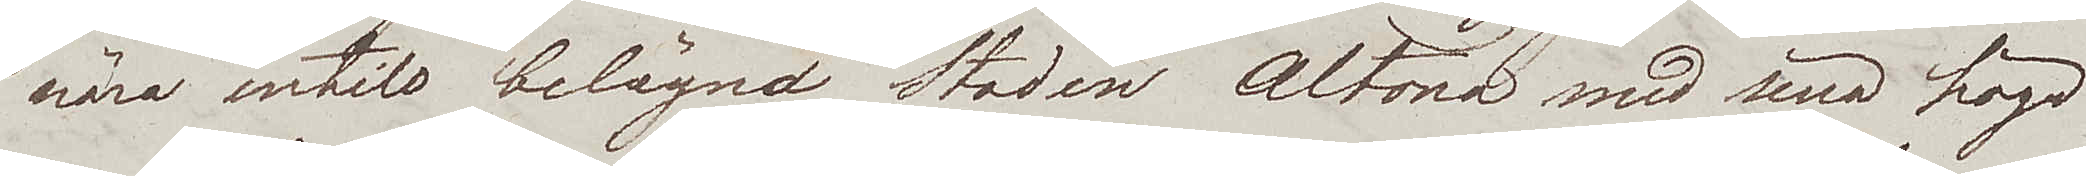nära intill belägna Staden Altona med sina höga
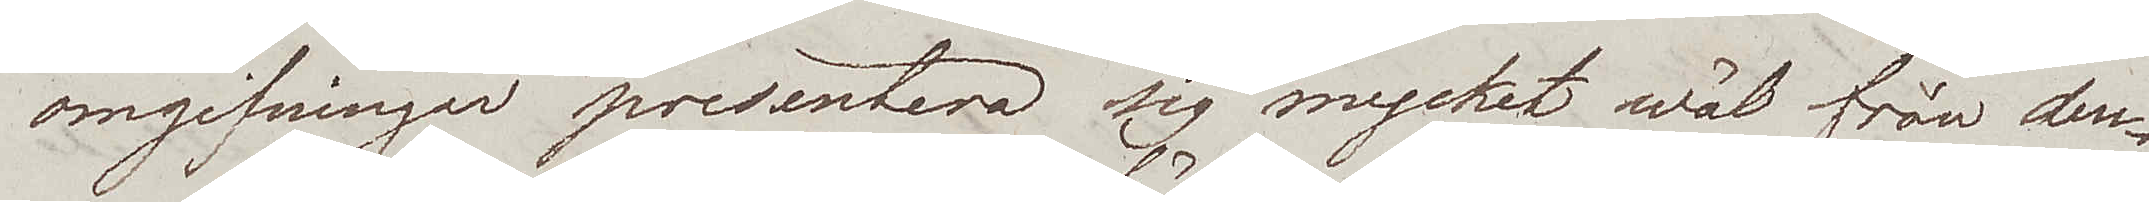omgifningar presentera sig mycket wäl från den¬
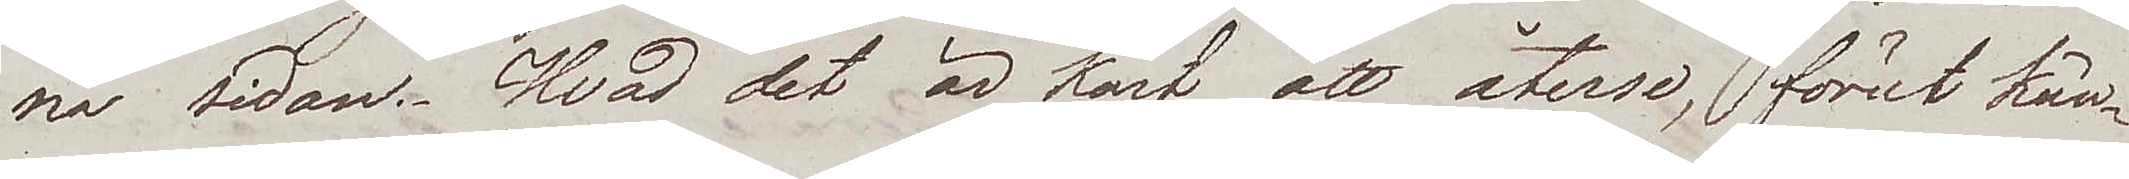na sidan. Hvad det är kärt, att återse, förut kän¬
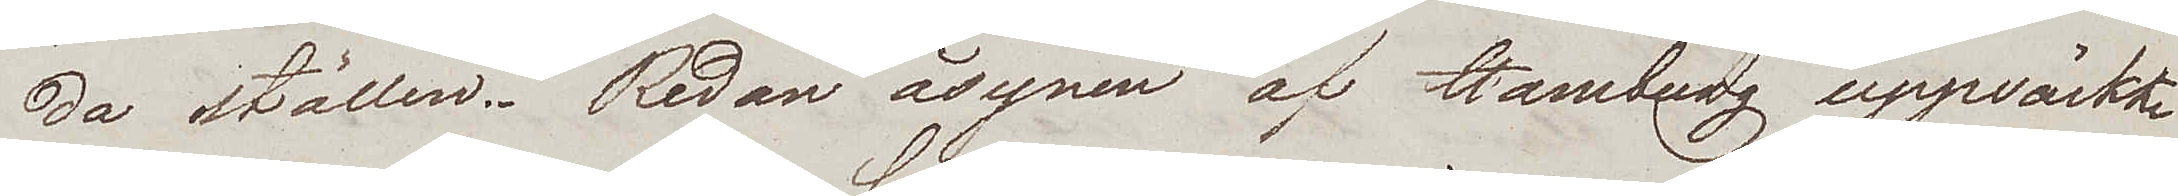da ställen. Redan åsynen af Hamburg uppwäckte
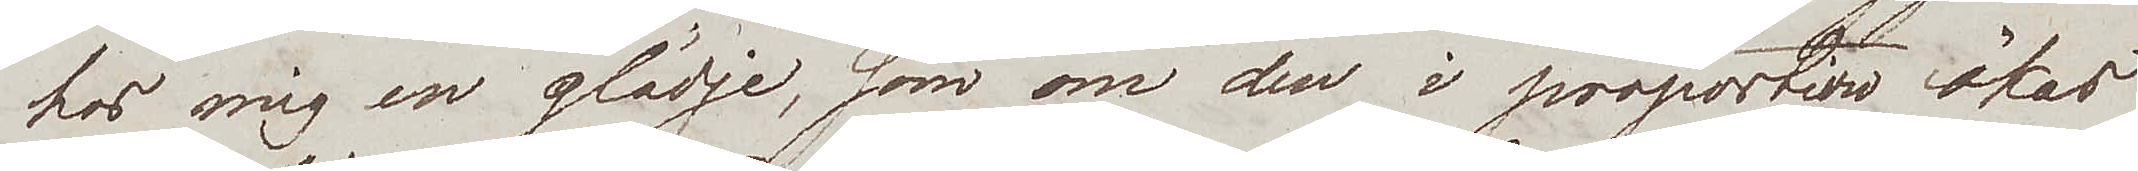hos mig en glädje, som om den i proportion ökas
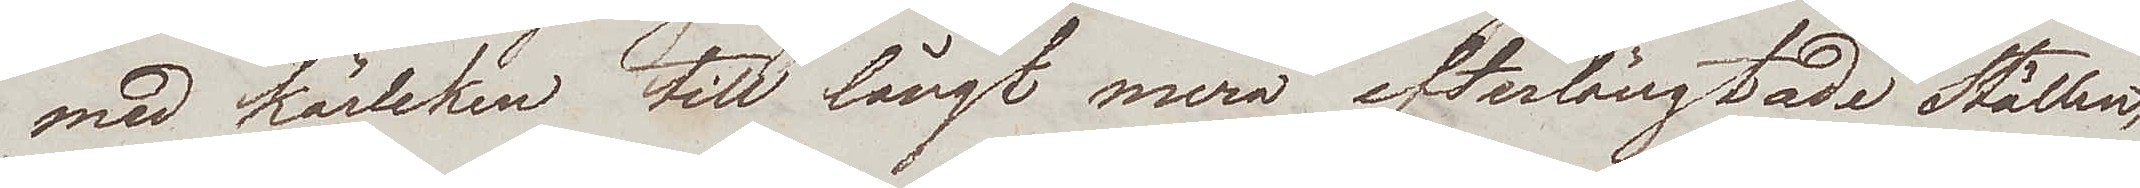med kärleken till långt mera efterlängtade Ställen,
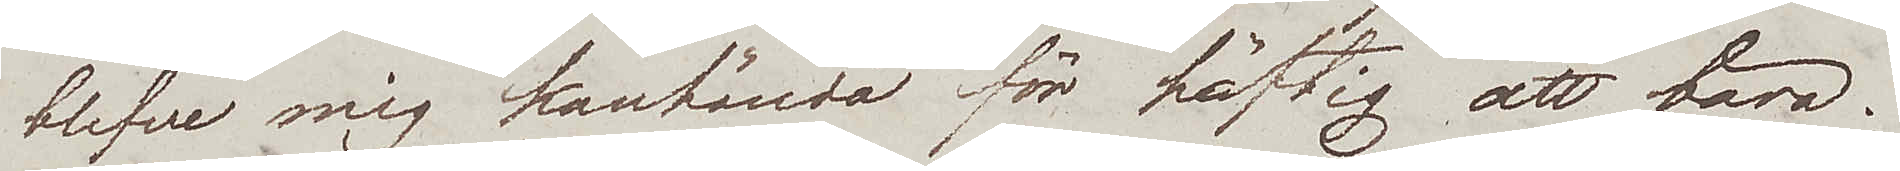blefve mig kanhända för häftig att bära.
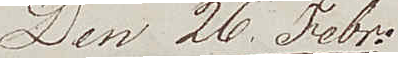Den 26. Febr.
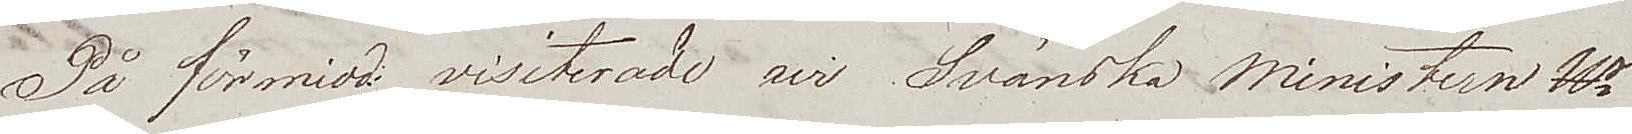På förmidd visiterade wi Svänska Ministern Hr
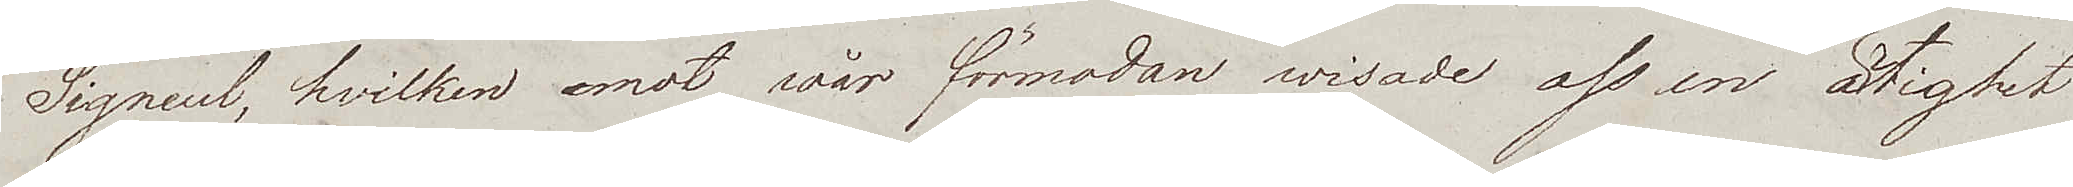Signeul, hvilken emot vår förmodan wisade oss en artighet
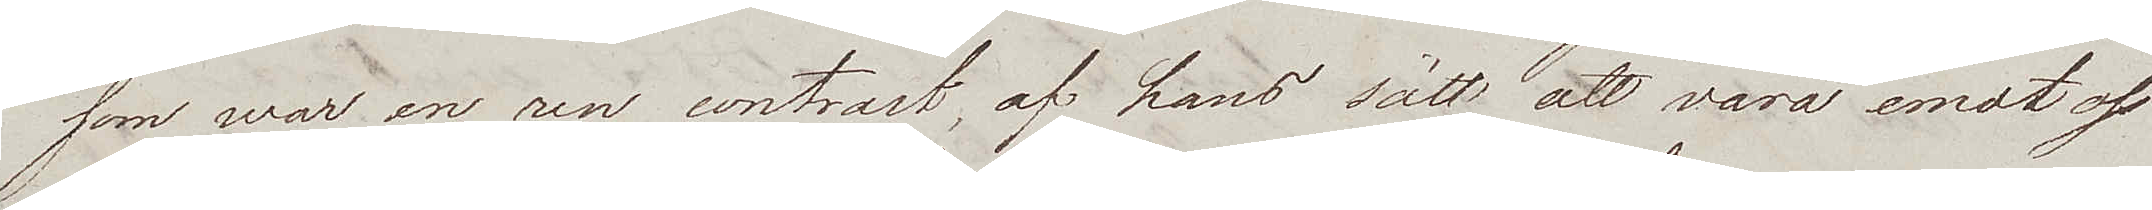som war en ren contrast, af hans sätt att vara emot oss
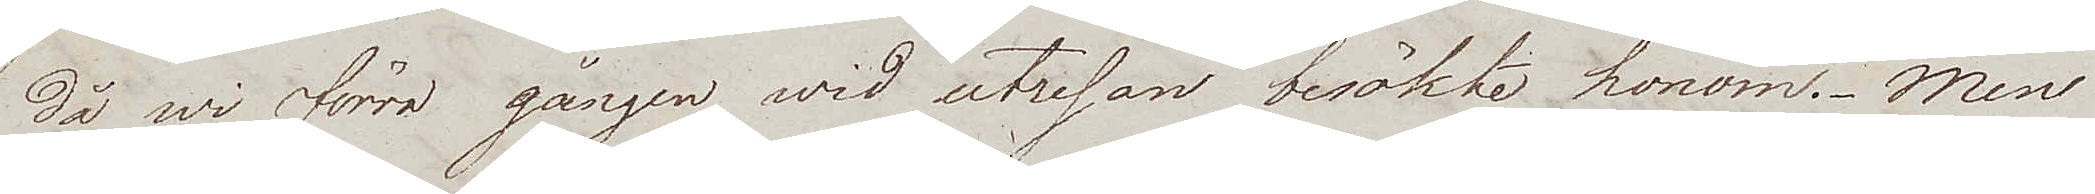då wi förra gången wid utresan besökte honom. Men
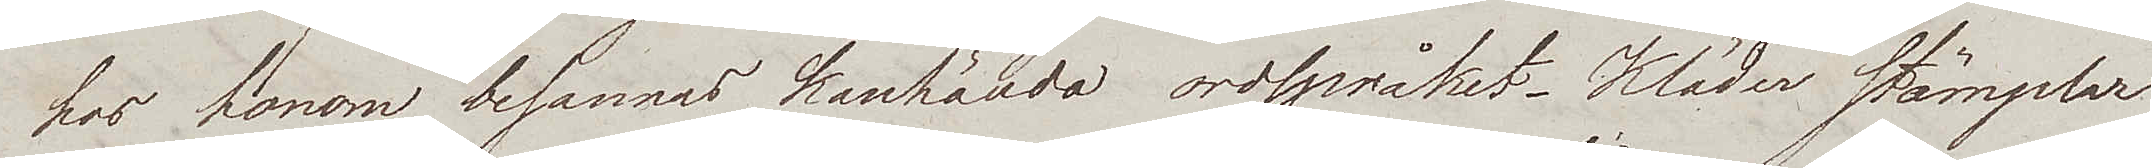hos honom besannas kanhända ordspråket – Kläder stämplar
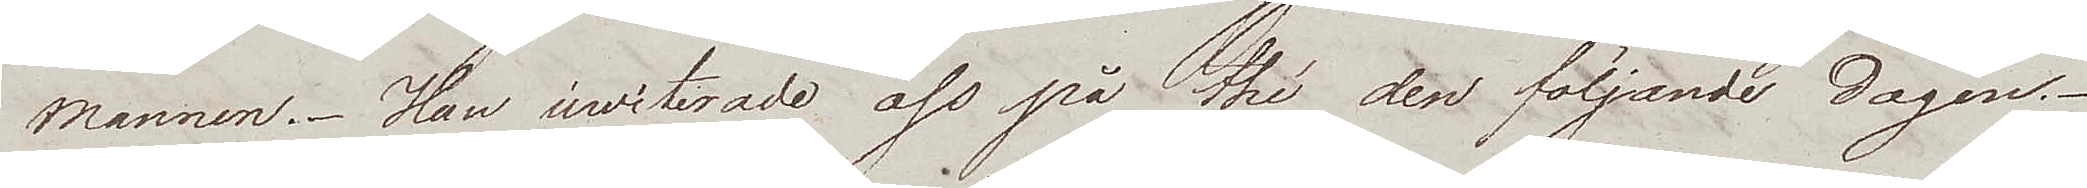mannen. Han inwiterade oss på thé den följande dagen.
